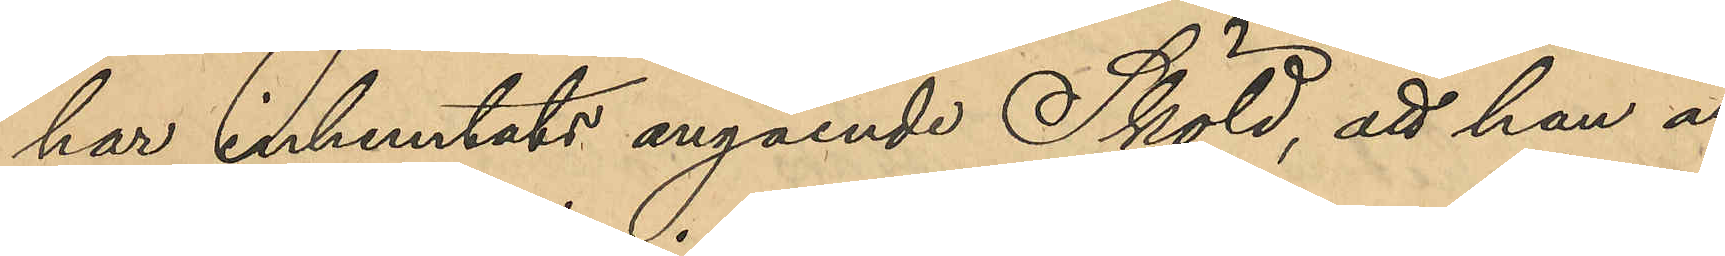har inhemtats angående Sköld, att han är
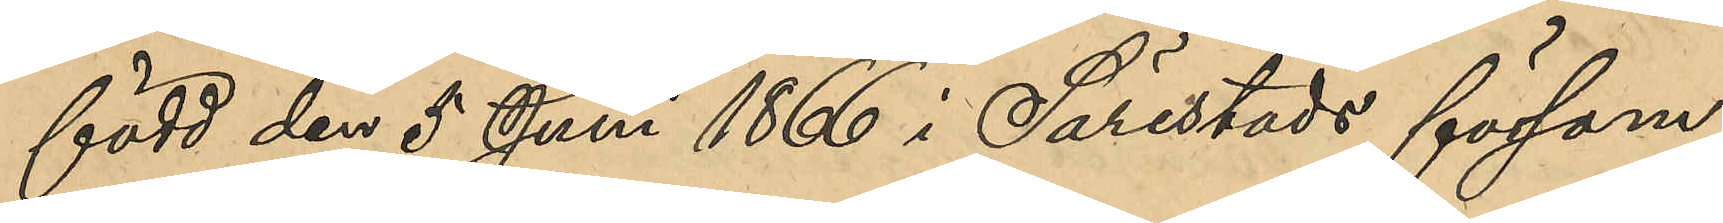född den 5 Juni 1866 i Särestads försam¬
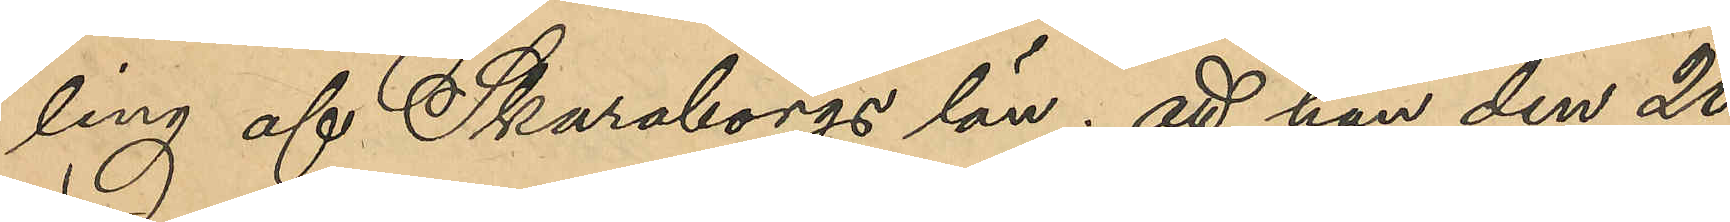ling af Skaraborgs län; att han den 20
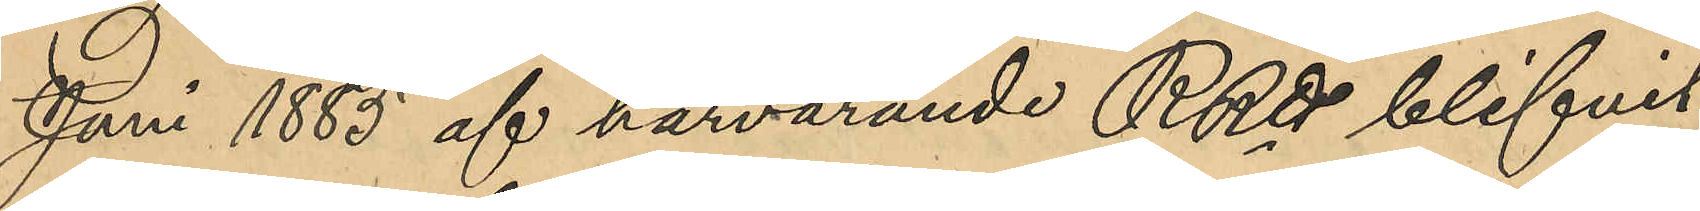Juni 1883 af härvarande RRtt blifvit
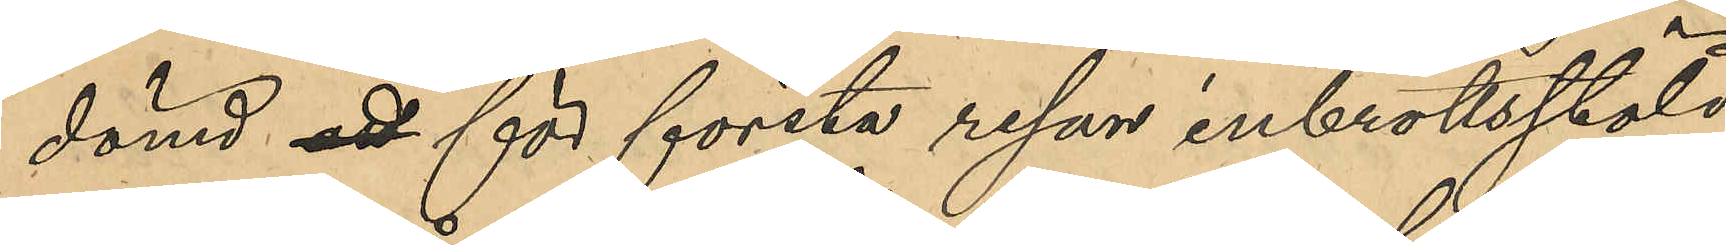dömd att för första resan inbrottsstöld
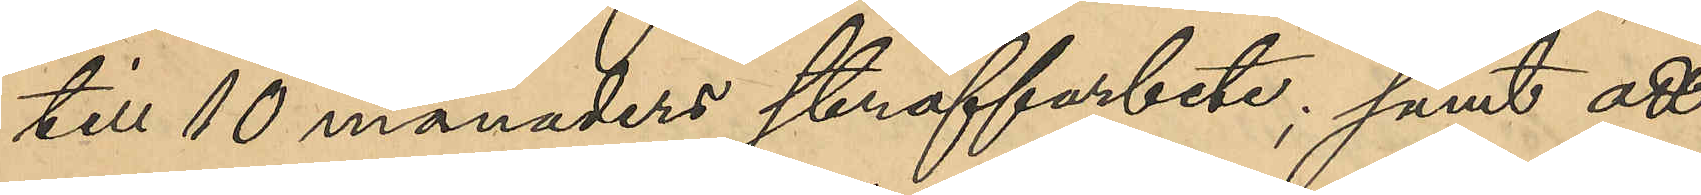till 10 månades straffarbete; samt att
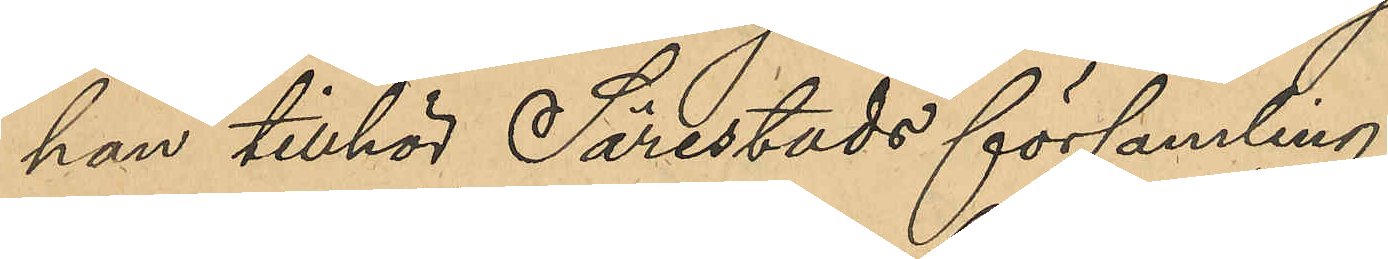han tillhör Särestads församling.
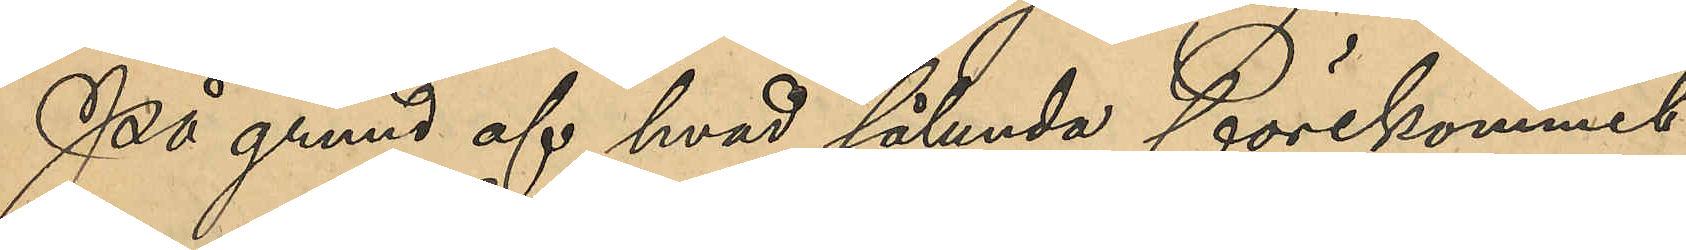På grund af hvad sålunda förekommit
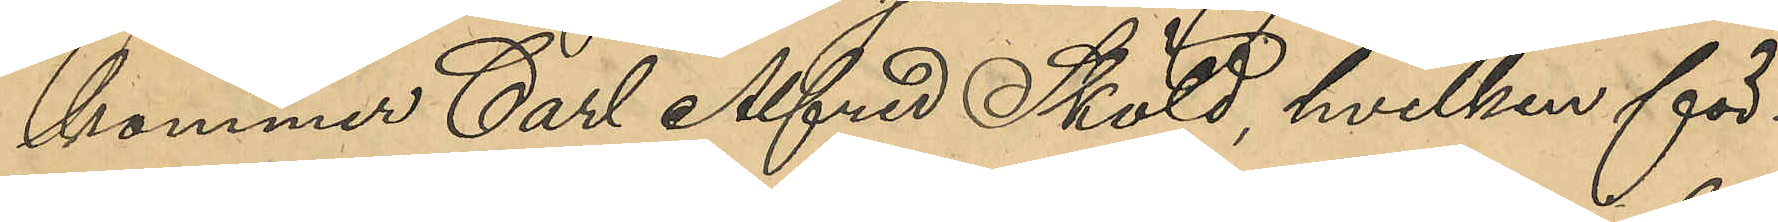kommer Carl Alfred Sköld, hvilken för¬
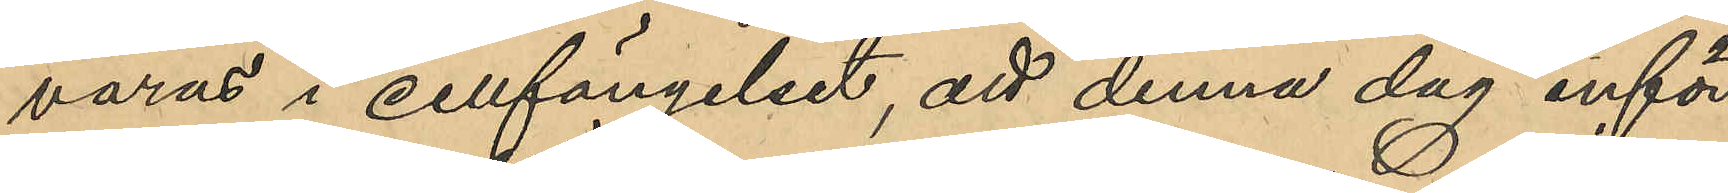varas i cellfängelset, att denna dag inför
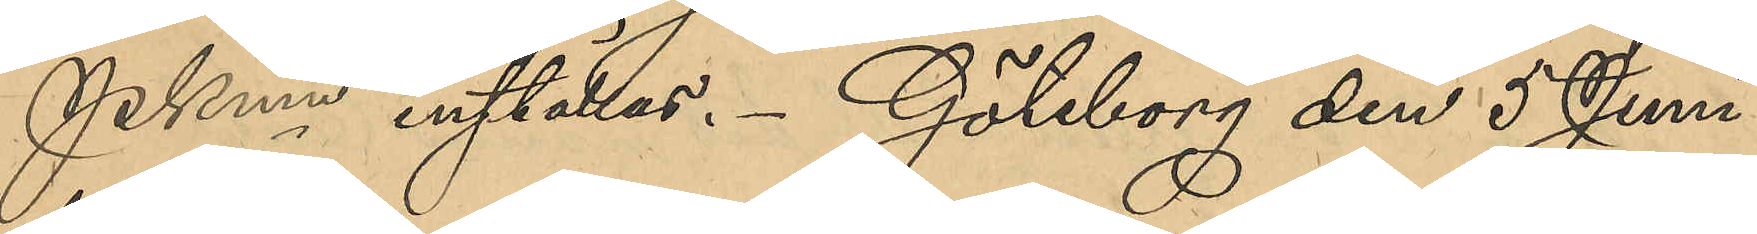PKmn inställas. Göteborg den 5 Juni
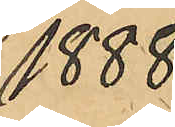1888.
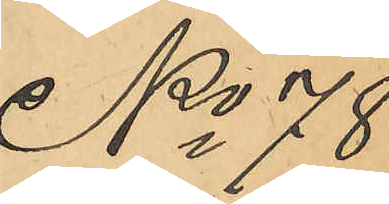No 78
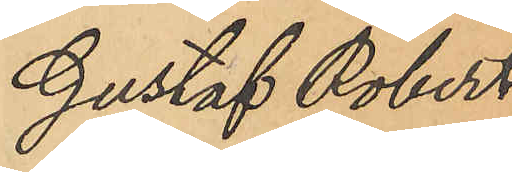Gustaf Robert 
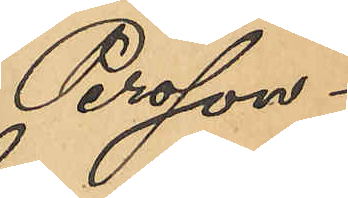Persson
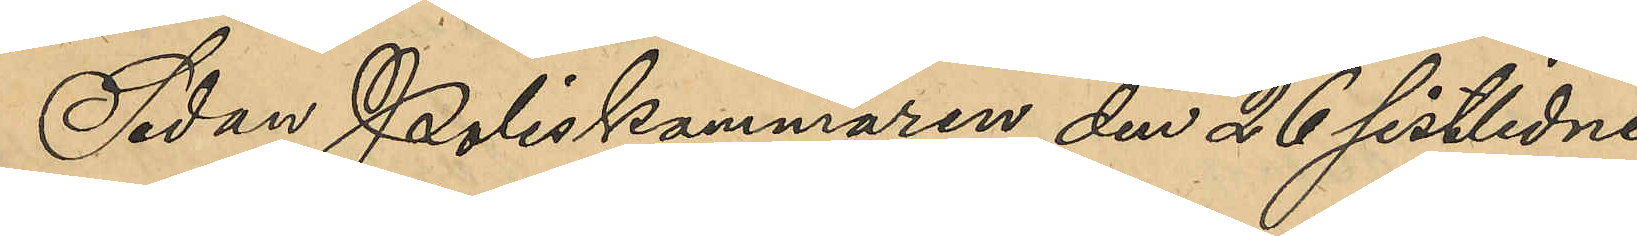Sedan Poliskammaren den 26 sistlidne
